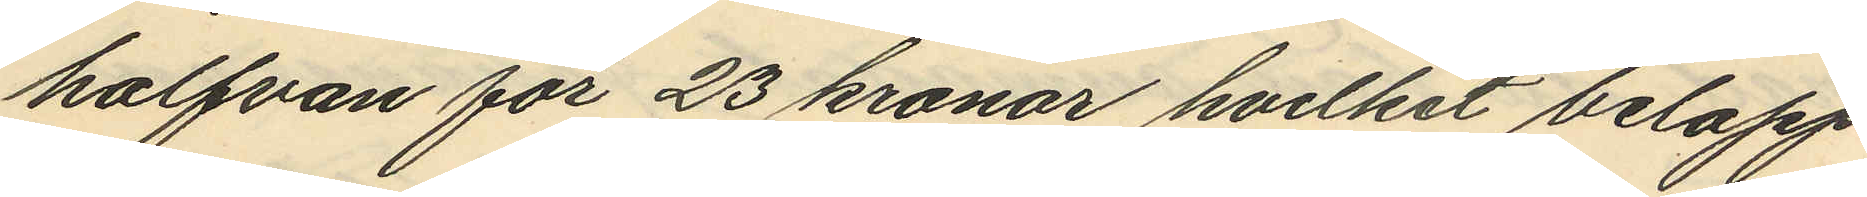halfvan för 23 kronor hvilket belopp
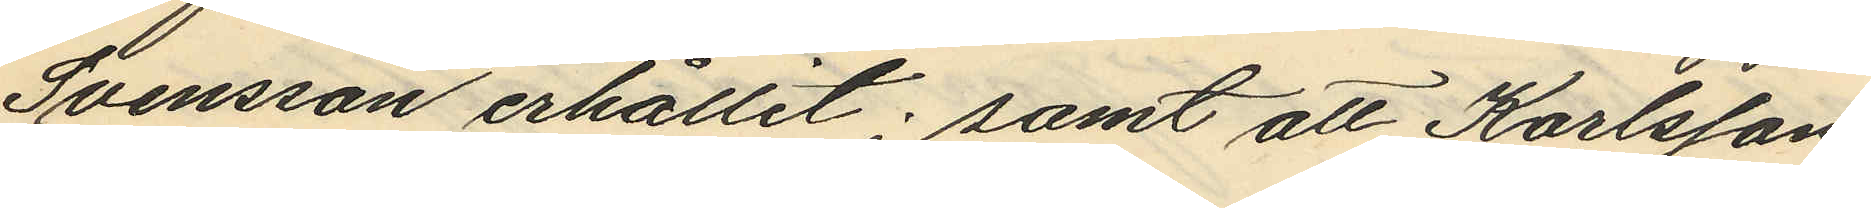Svensson erhållit; samt att Karlsson,
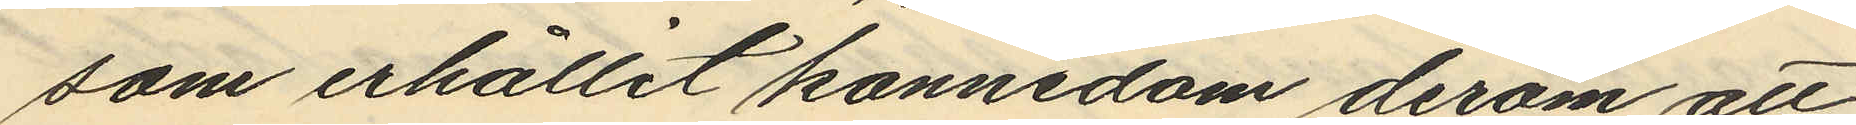som erhållit kannedom derom att
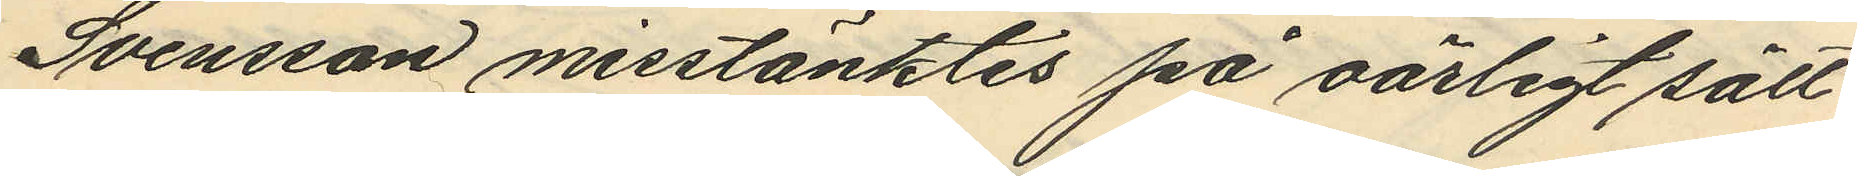Svensson misstänktes på oärligt sätt
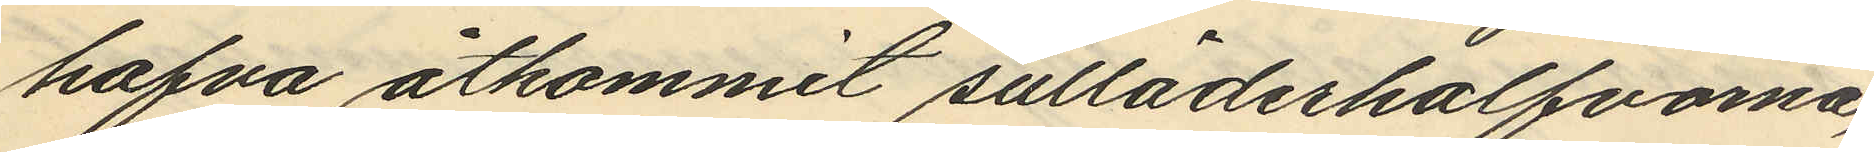hafva åtkommit sulläderhalfvorna,
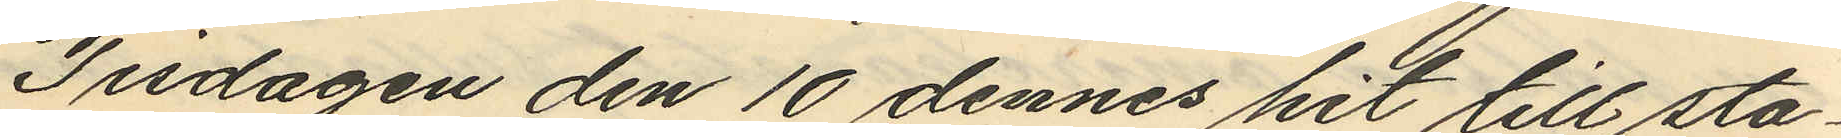Tisdagen den 10 dennes hit till sta¬
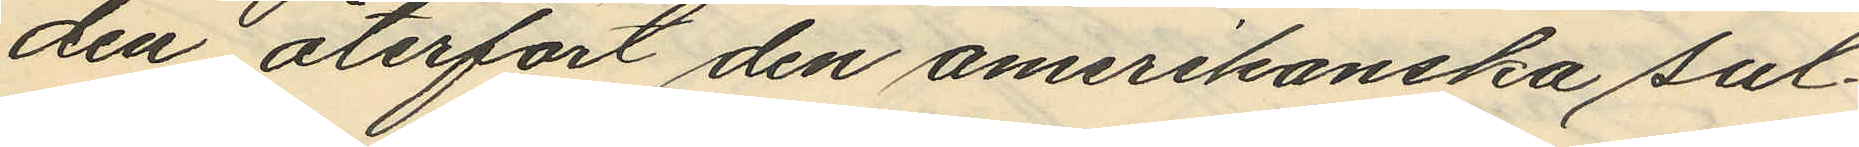den återfört den amerikanska sul¬
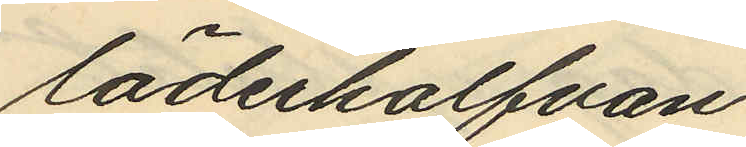läderhalfvan
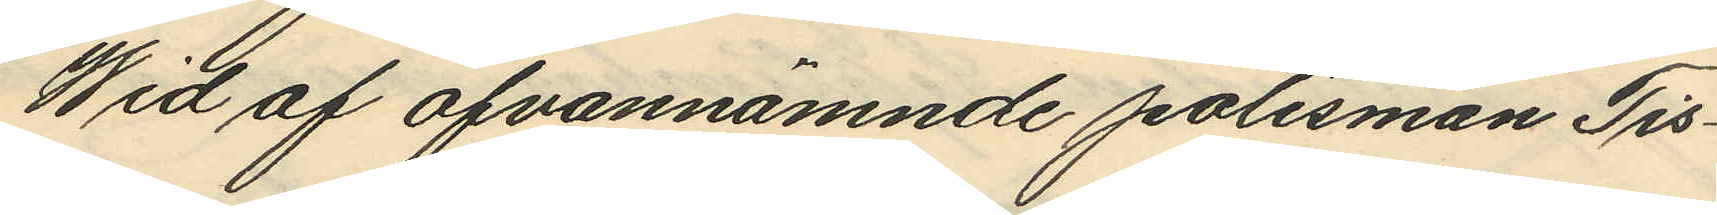Wid af ofvannämnde polismän Tis¬
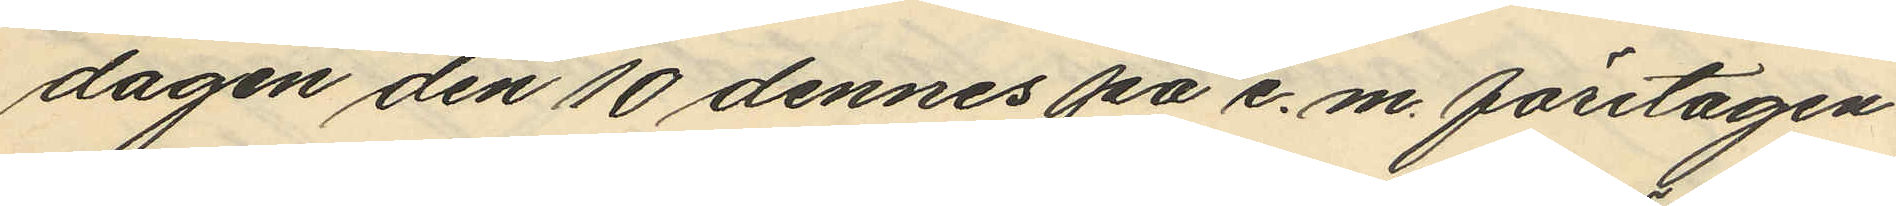dagen den 10 dennes på e.m. företagen
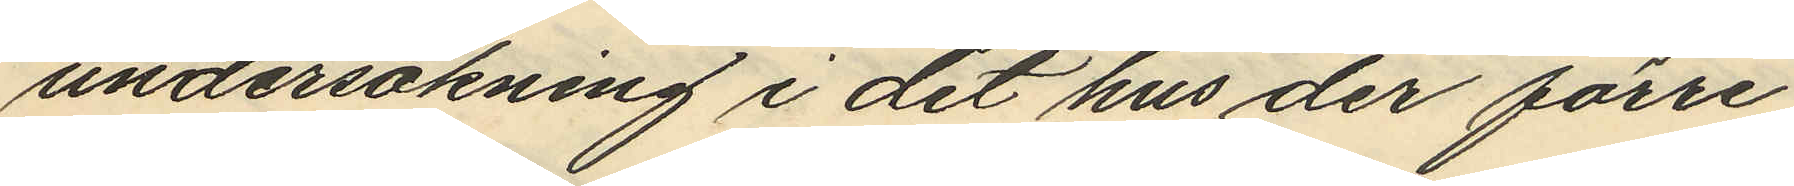undersökning i det hus der förre
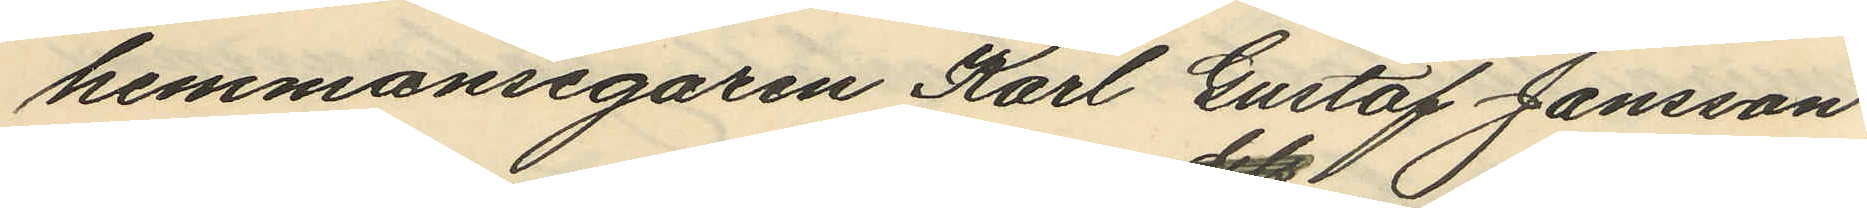hemmansegaren Karl Gustaf Jansson
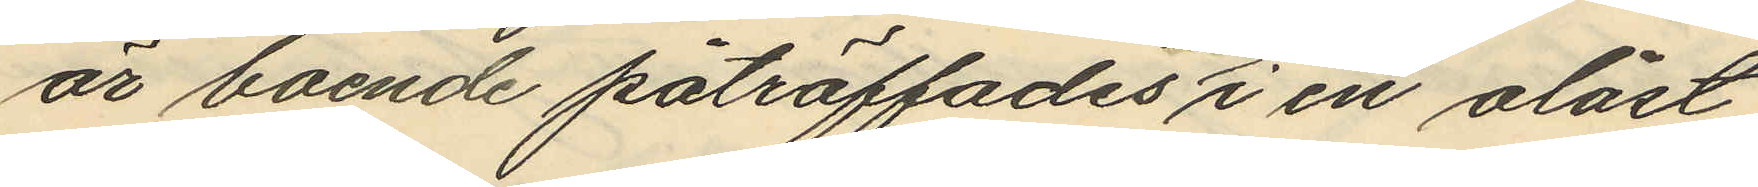är boende påträffades i en olåst
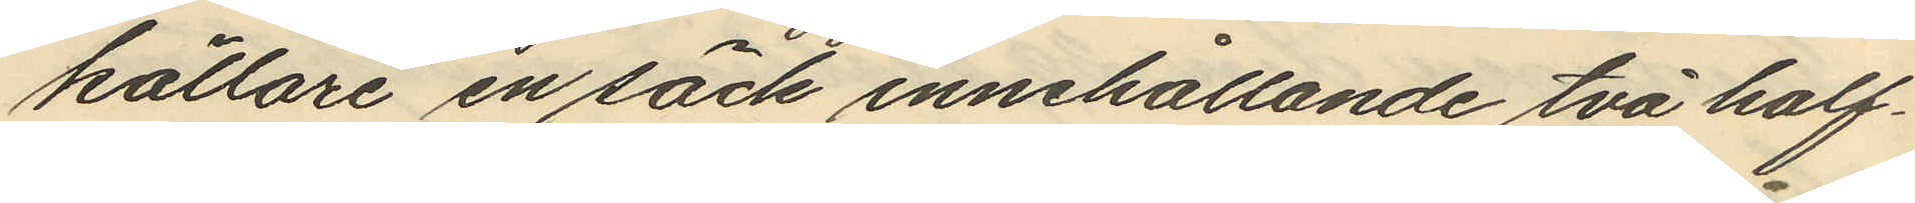källare en säck innehållande två half¬
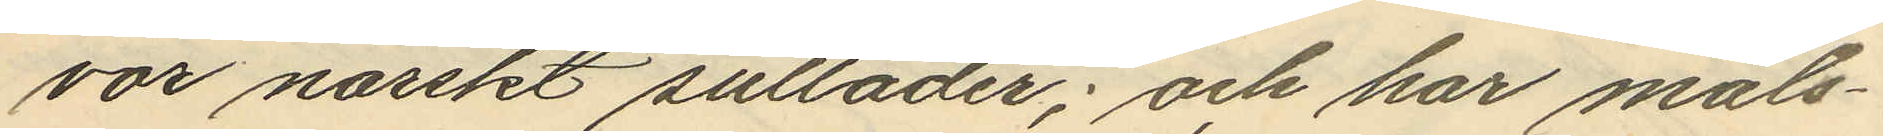vao norskt sulläder; och har måls¬
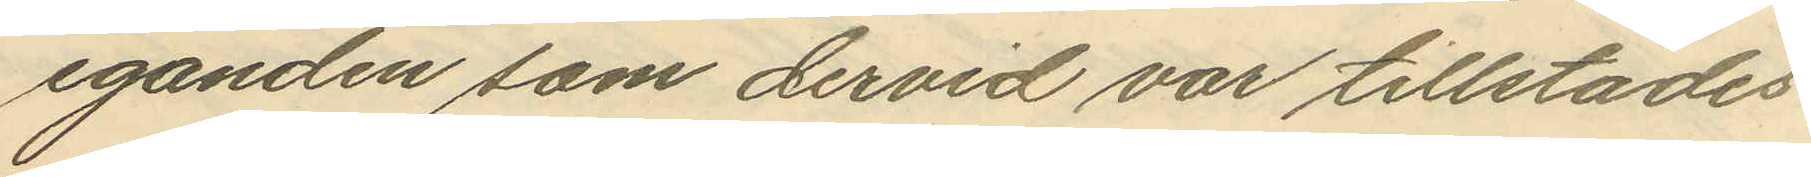eganden som dervid var tillstädes
